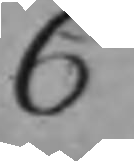C
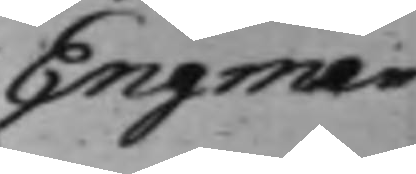Engman
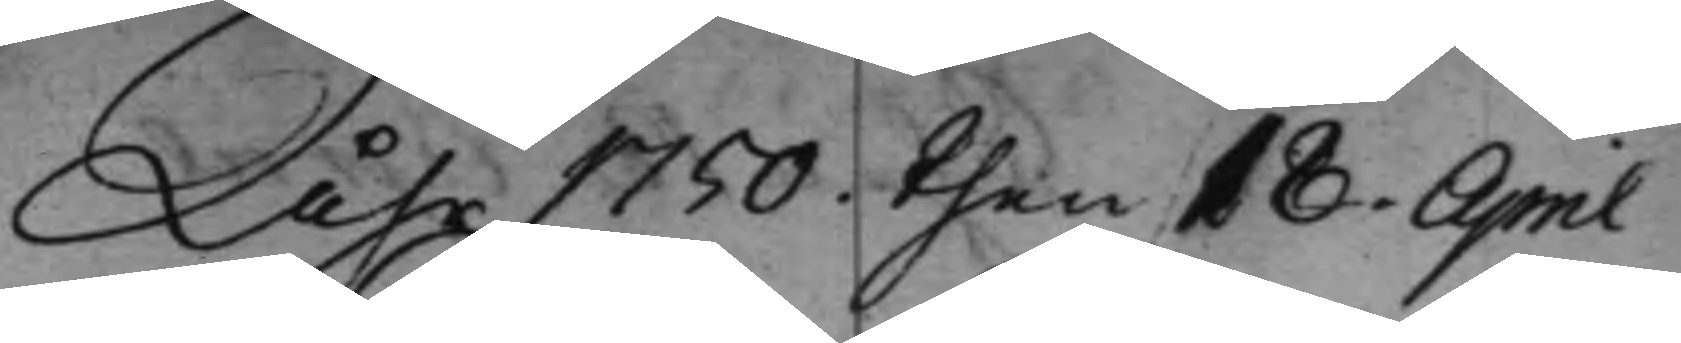Åhr 1750 then 10 April
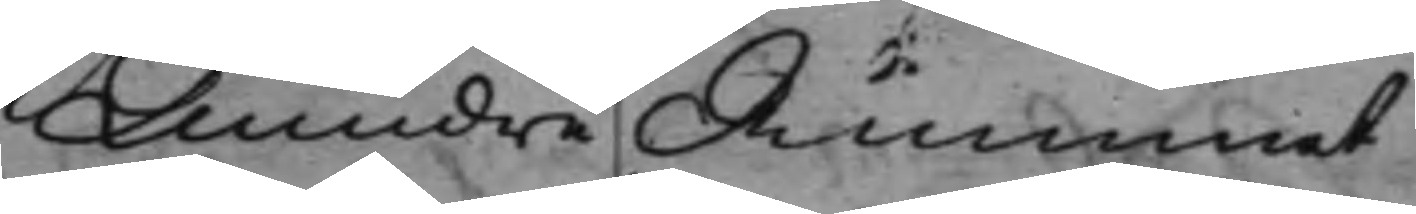Mindre Rummet
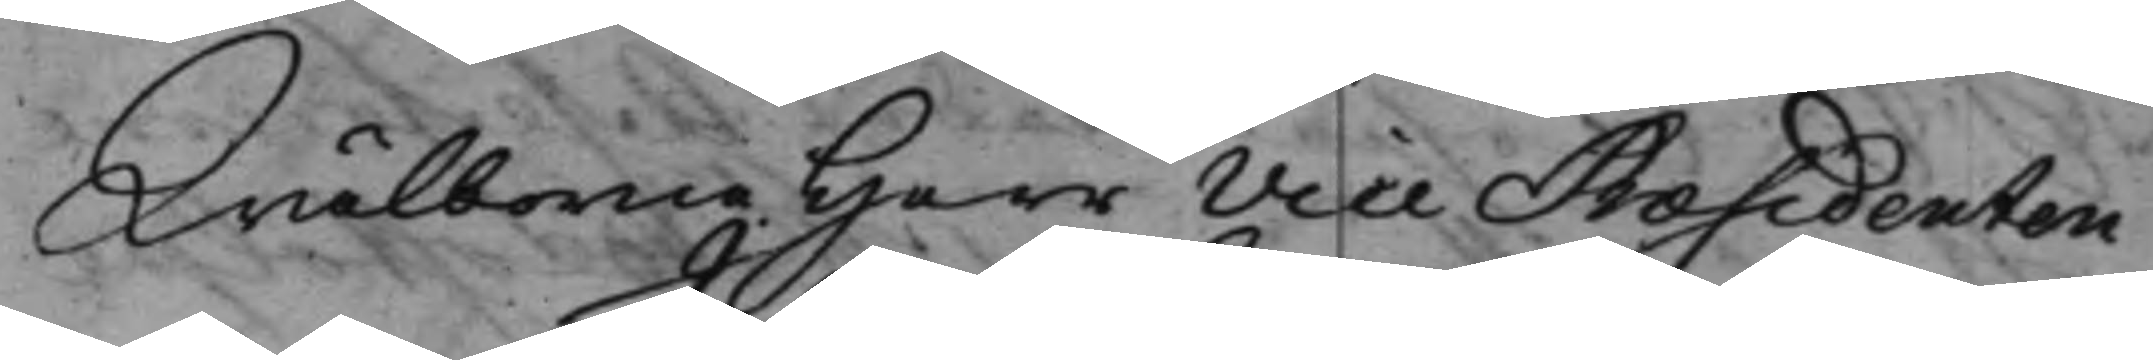Wälborne Herr Vice Præsidenten
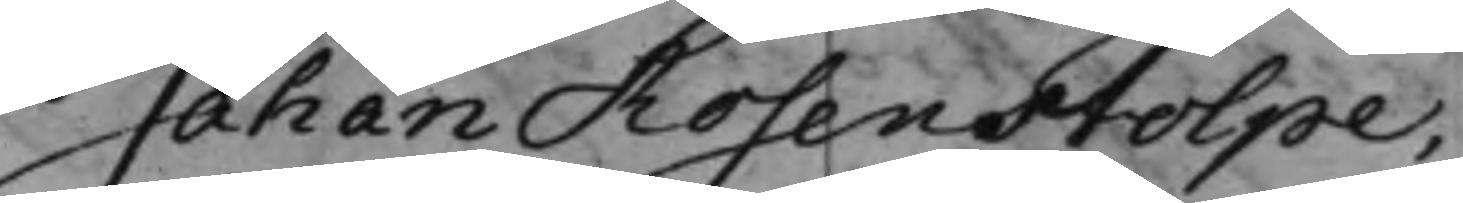Johan Rosenstolpe,
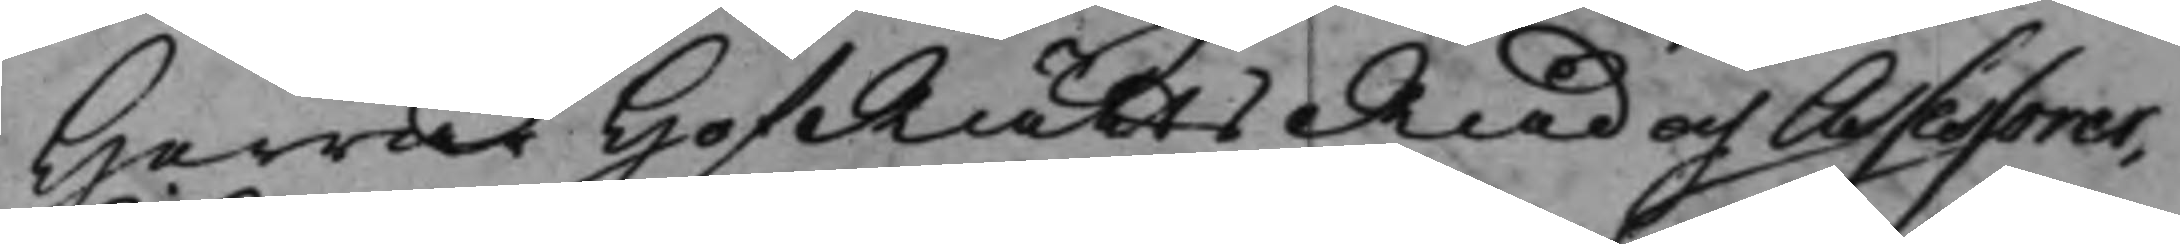Herrar HofRättsRåd och Assessorer,
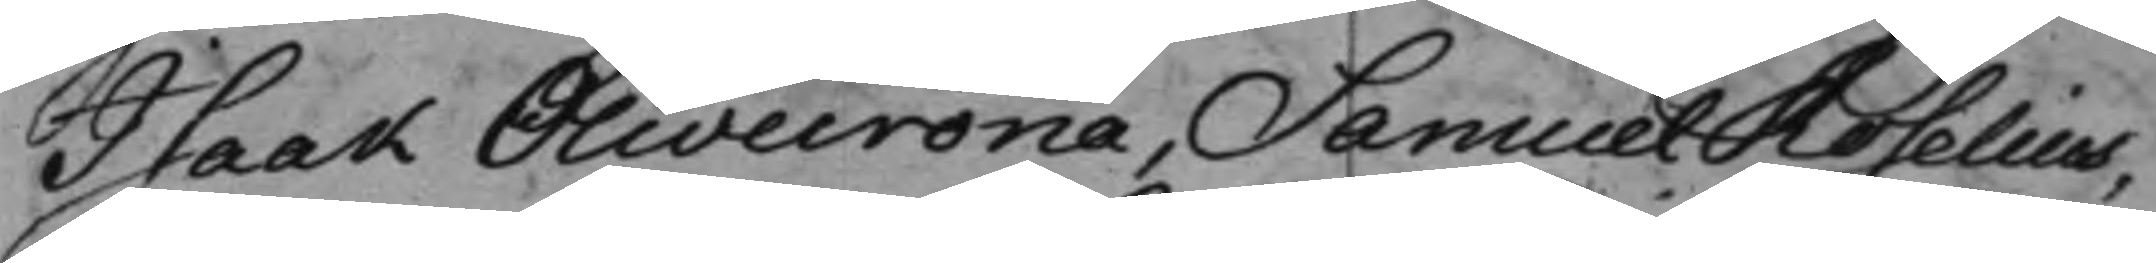Isaak Olivecrona, Samuel Roselius,
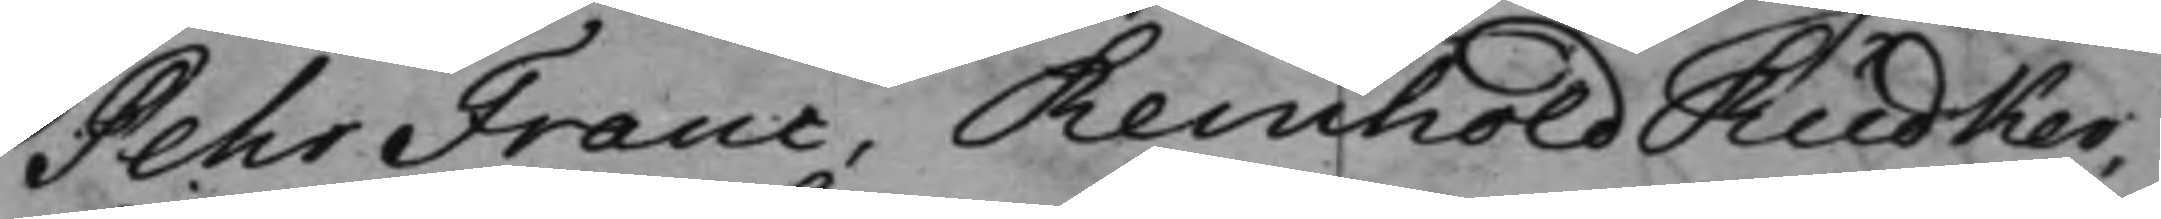Pehr Franc, Reinhold Rüdker,
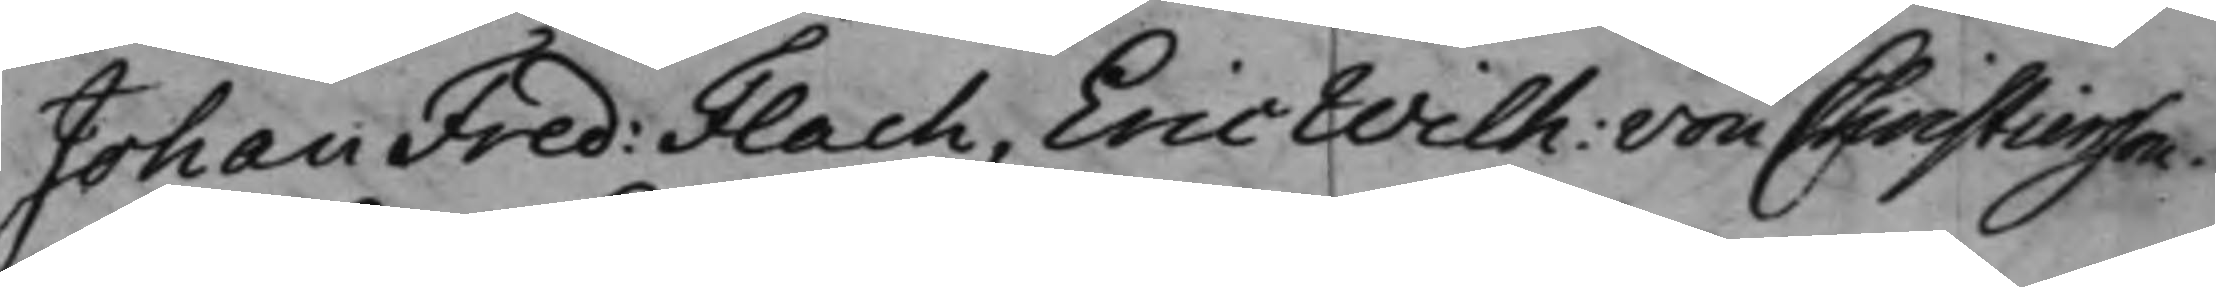Johan Fred: Flach, Eric Wilh: von Christiersson. 
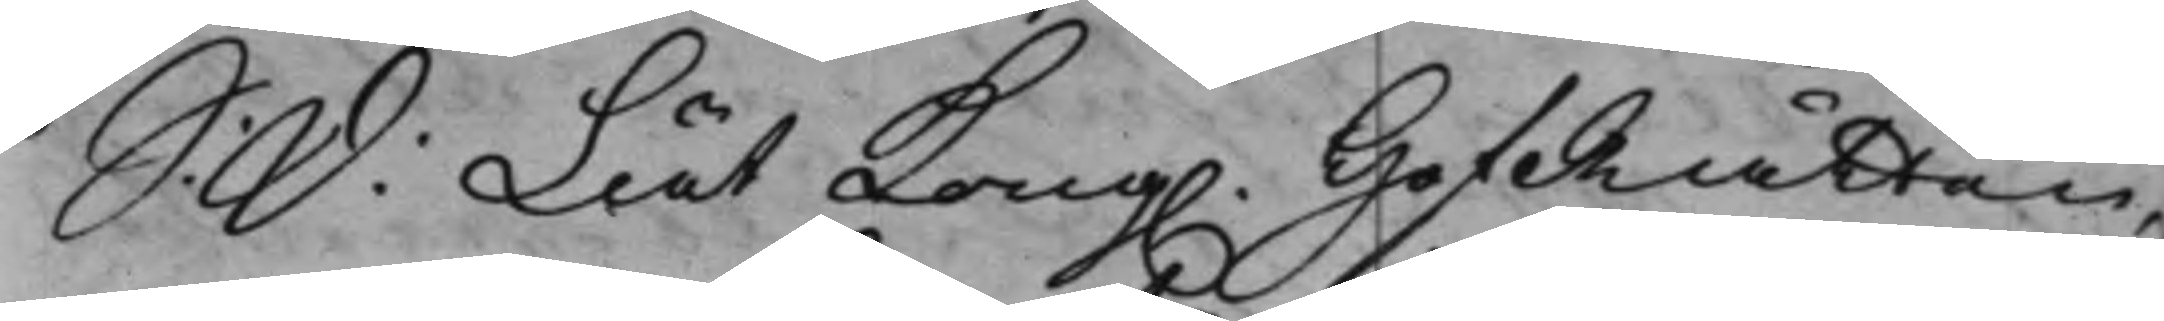S. D. At Kong. HofRätten,
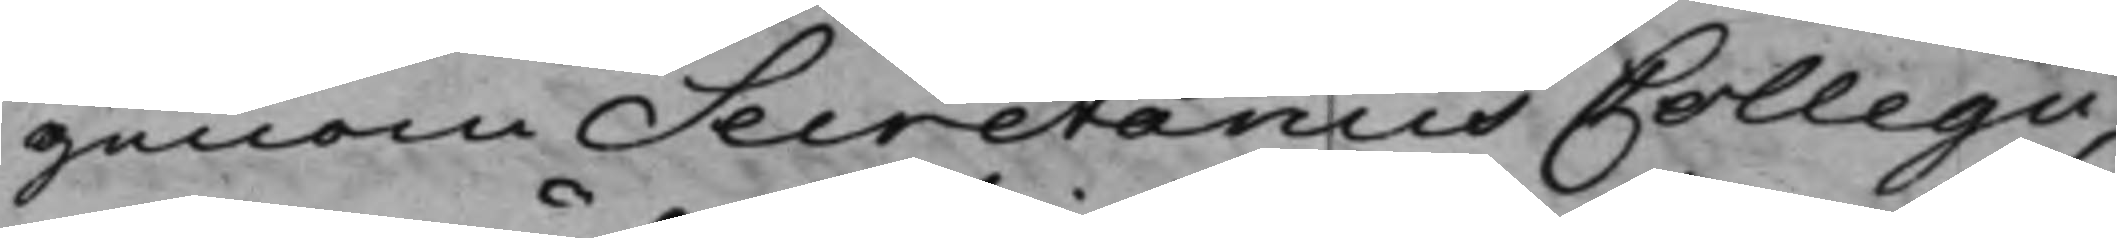genom Secretarius Collegii,
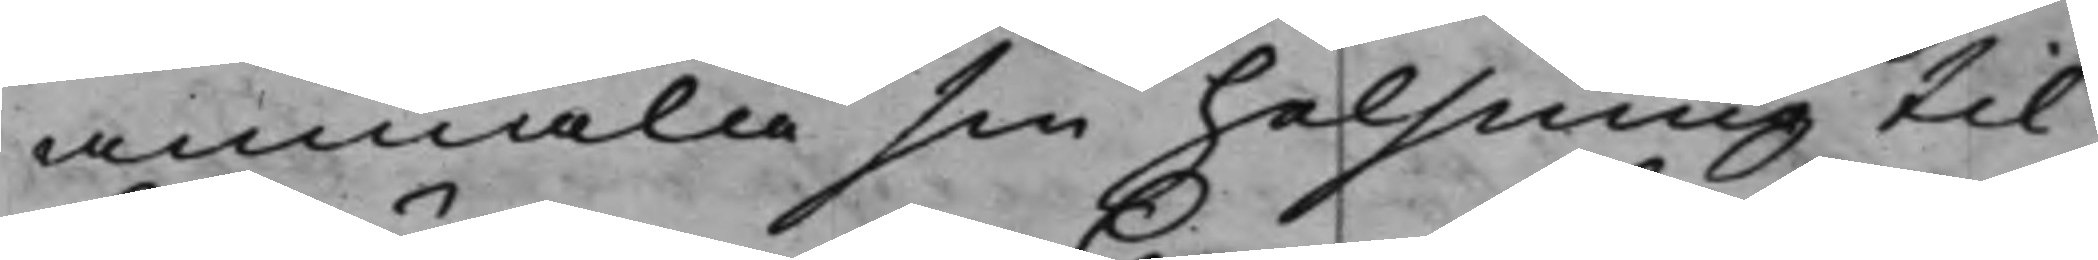anmälia sin helning till
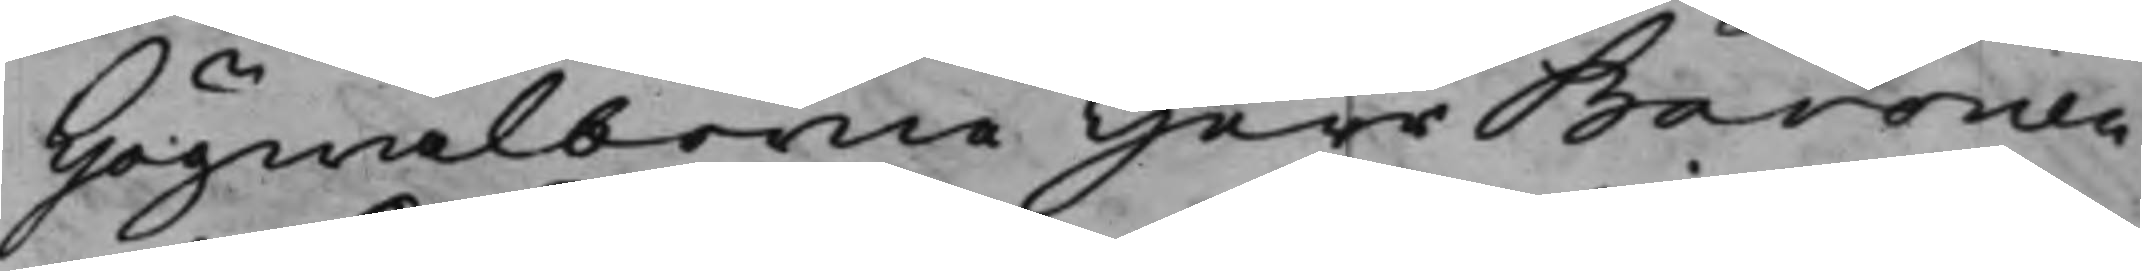Högwälborne Herr Baronen
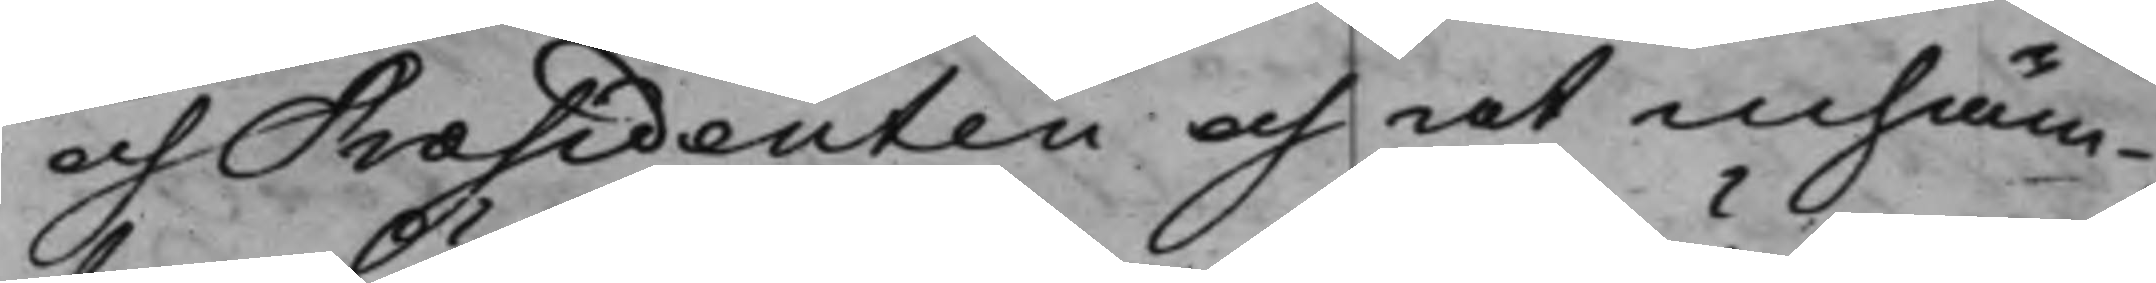och Præsidenten och at inhäm¬
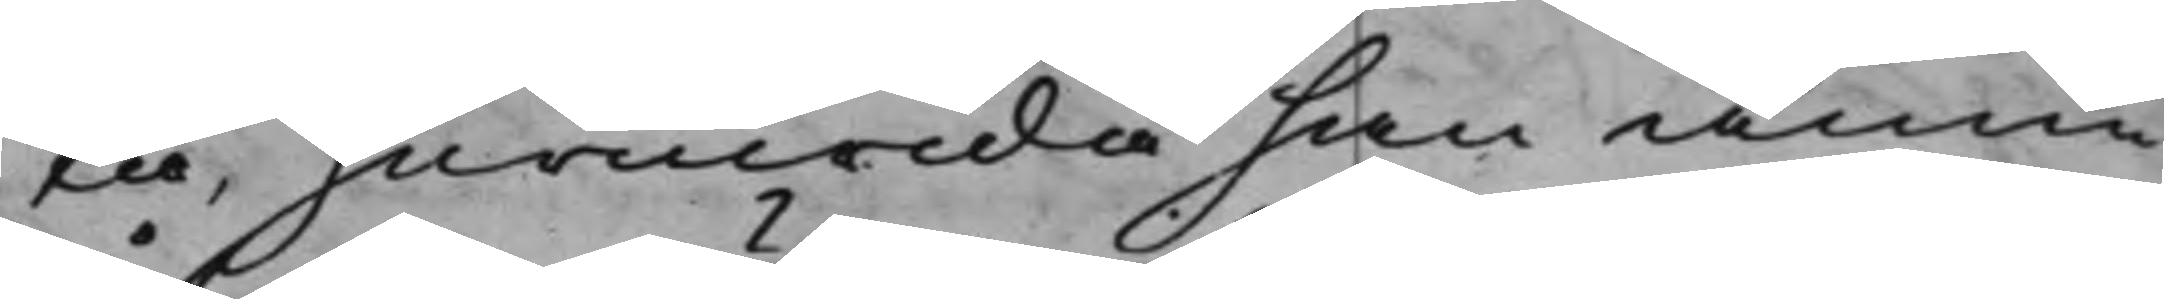ta, huruwida han ännu
